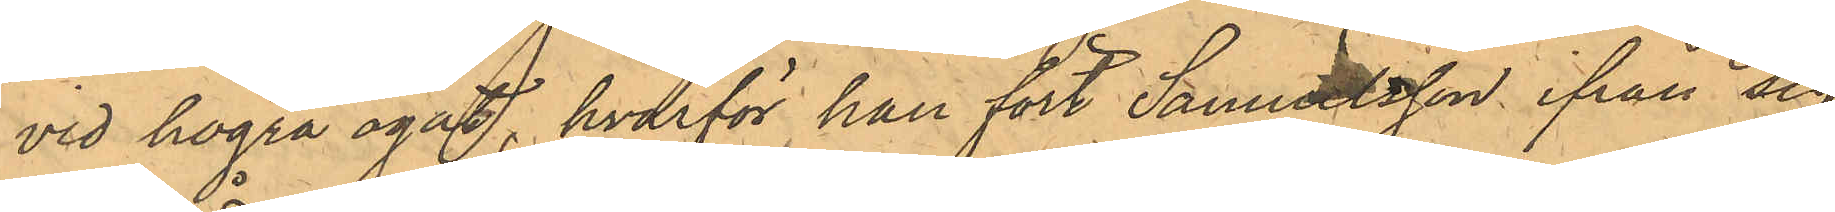vid högra ögat, hvarför han föst Samuelsson ifrån sig
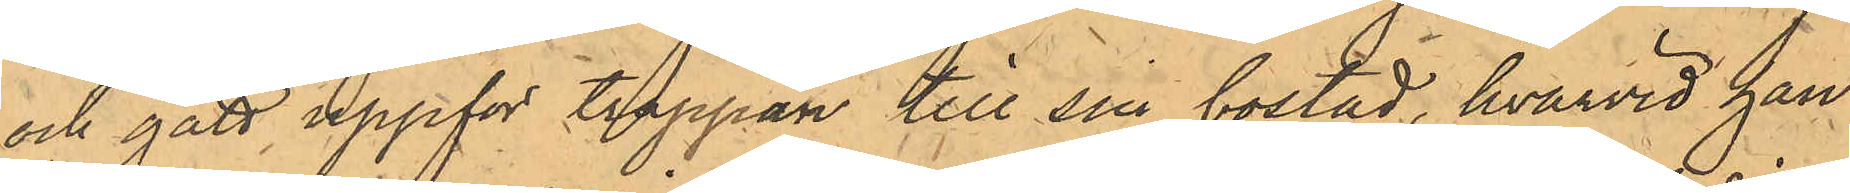och gått uppför trappan till sin bostad, hvarvid han
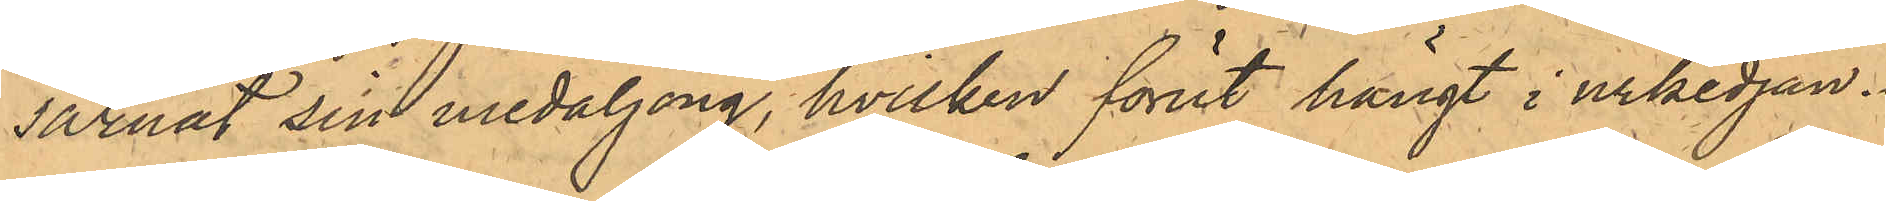saknat sin medaljong, hvilken förut hängt i urkedjan.
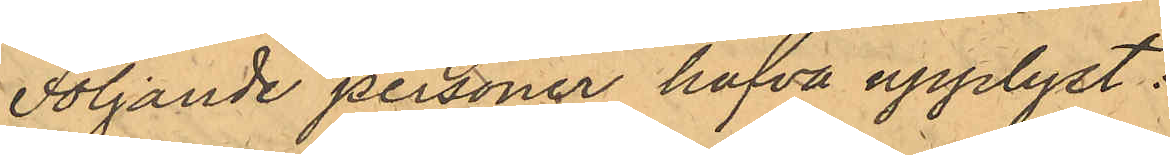Följande personer hafva upplyst:
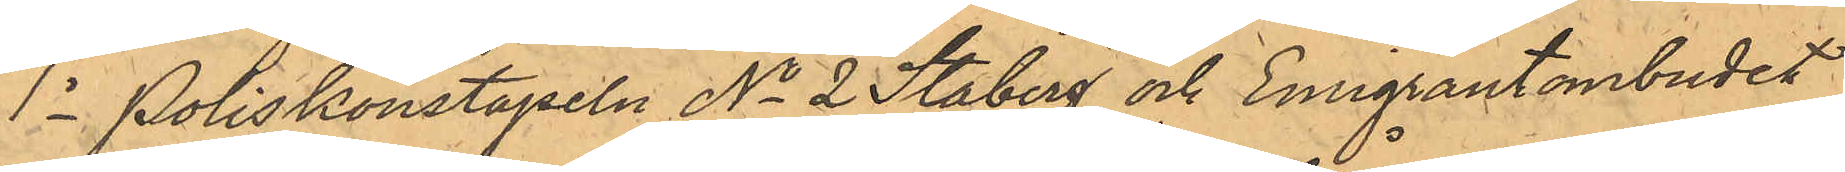1o Poliskonstapeln No 2 Staberg och Emigrantombudet
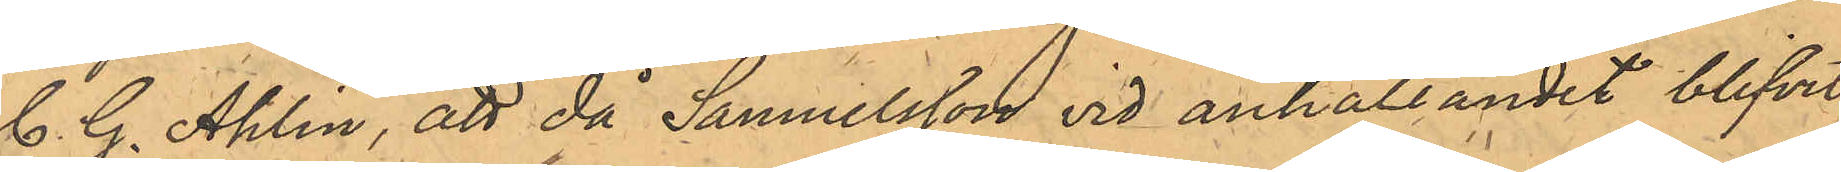C. G. Ahlin, att då Samuelsson vid anhållandet blifvit
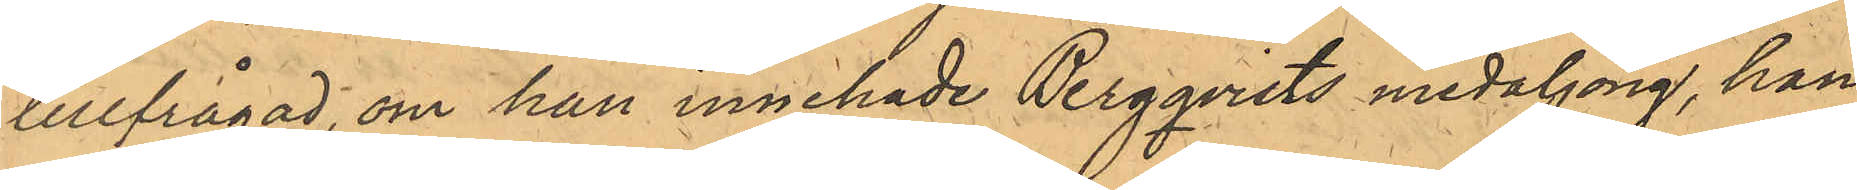tillfrågad, om han innehade Bergqvists medaljong, han
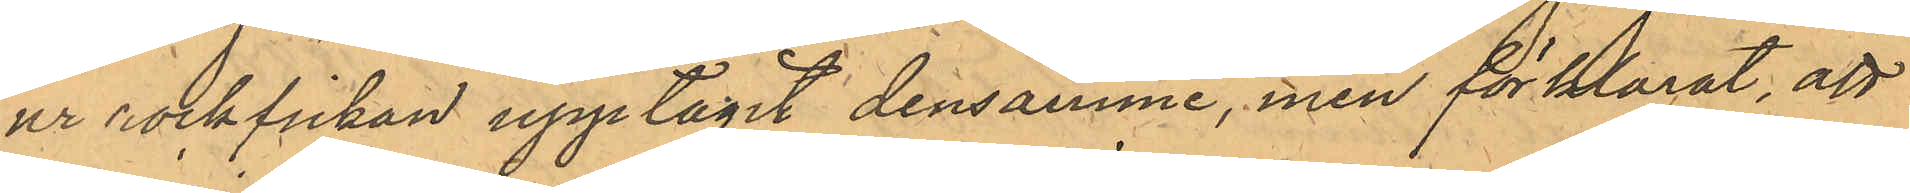ur rockfickan upptagit densamma, men förklarat, att
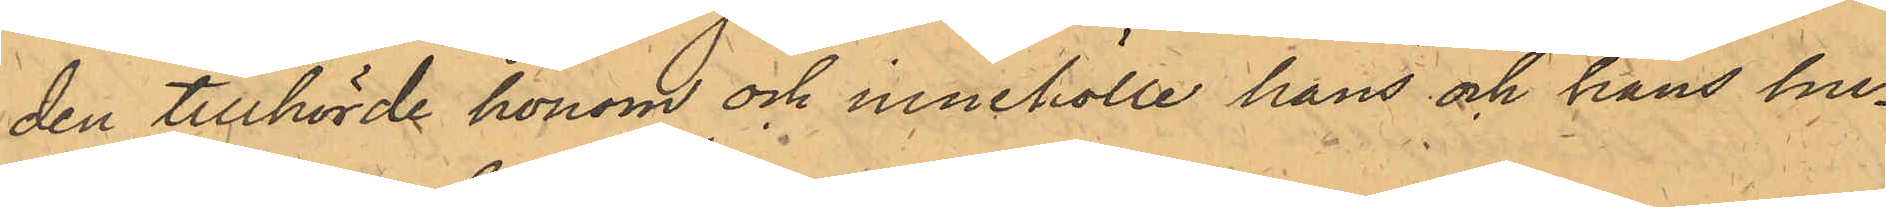den tillhörde honom och innehölle hans och hans hu¬
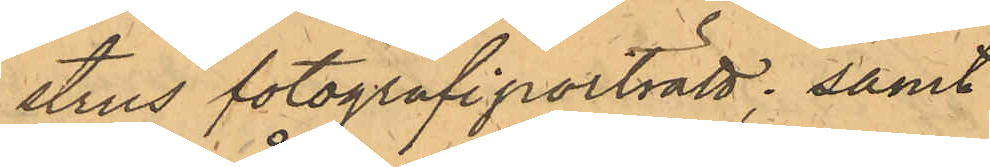strus fotografiporträtt; samt
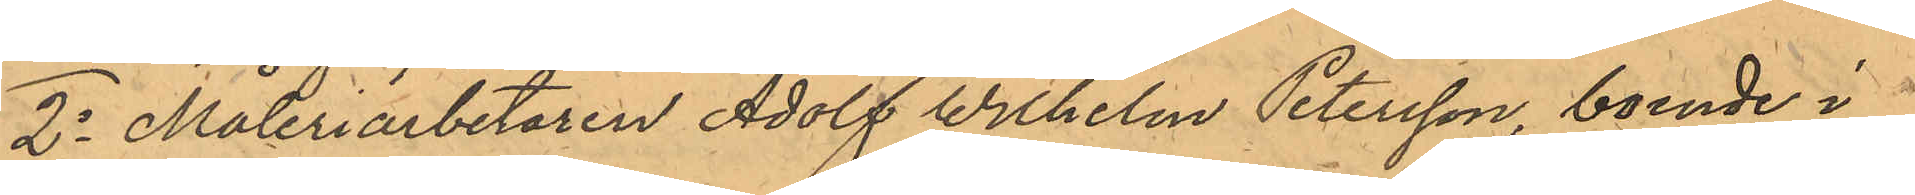2o Måleriarbetaren Adolf Wilhelm Petersson, boende i
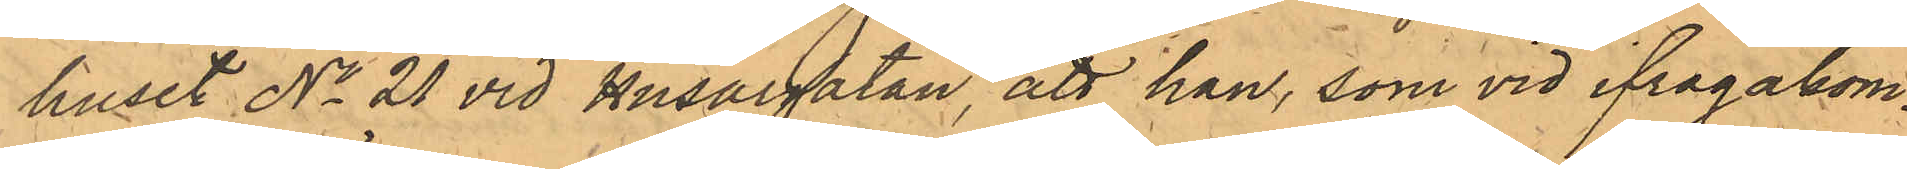huset No 21 vid Husargatan, att han, som vid ifrågakom¬
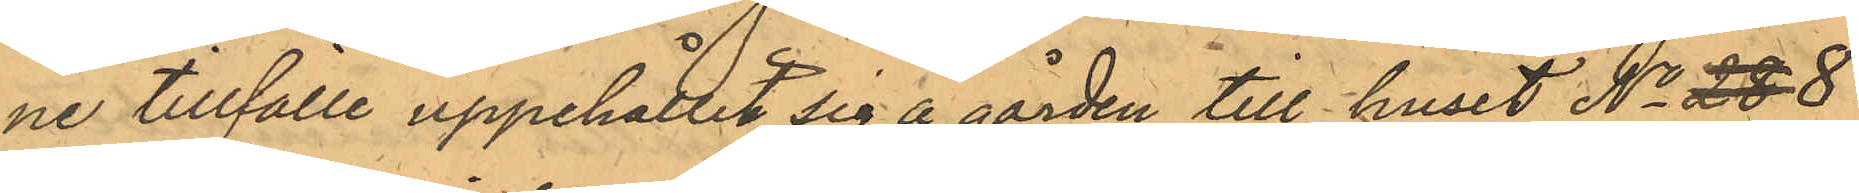ne tillfälle uppehållit sig å gården till huset No 28 8
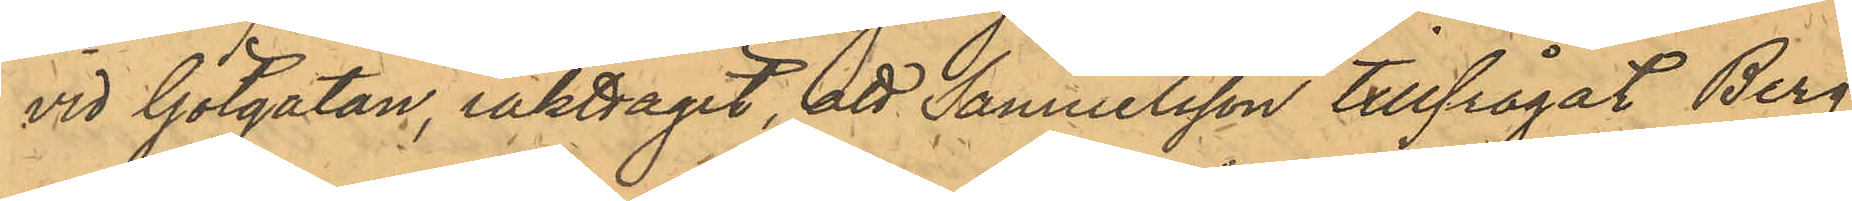vid Götgatan, iakttagit, att Samuelsson tillfrågat Berg¬
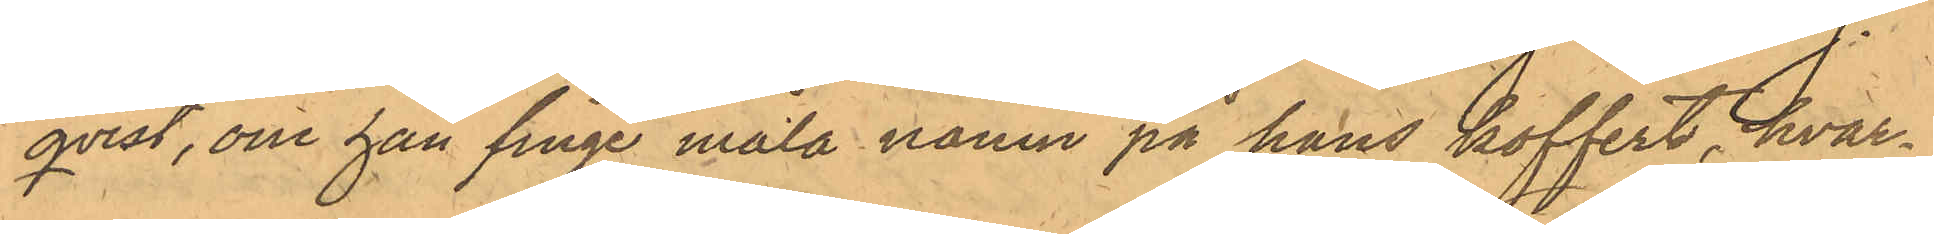qvist, om han finge måla namn på hans koffert, hvar¬
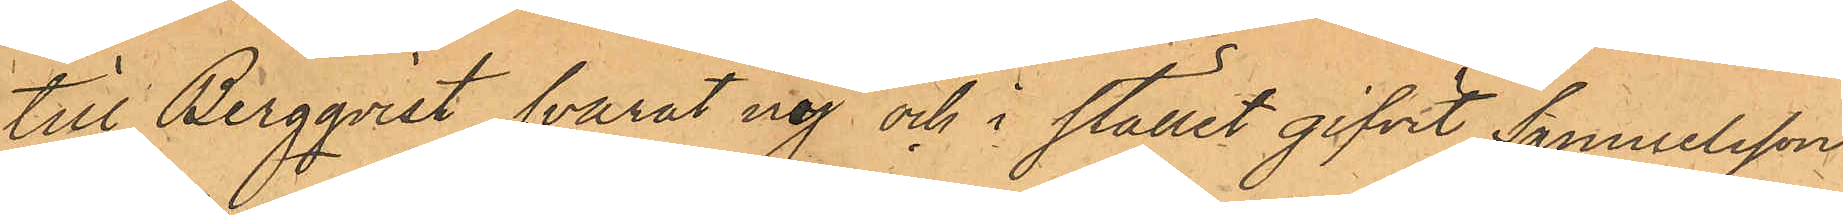till Bergqvist svarat nej och i stället gifvit Samuelsson
